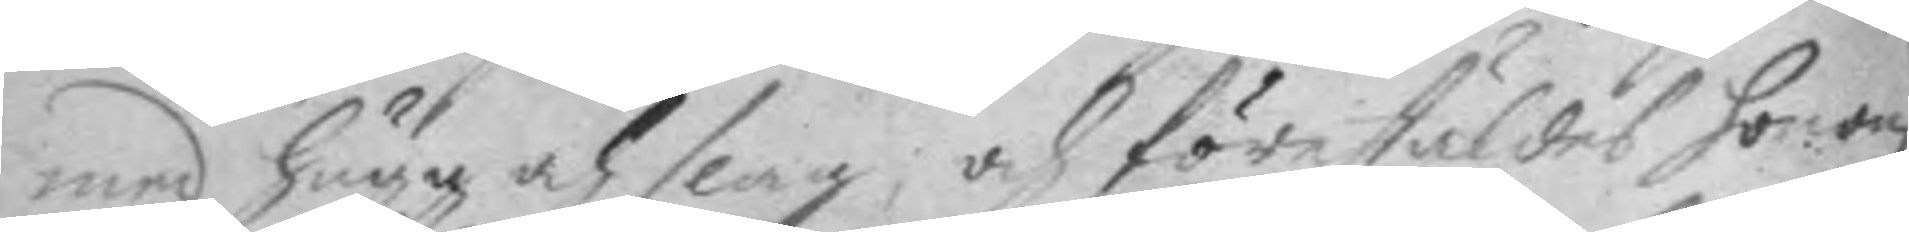med hugg och slag, och förestäldes honom
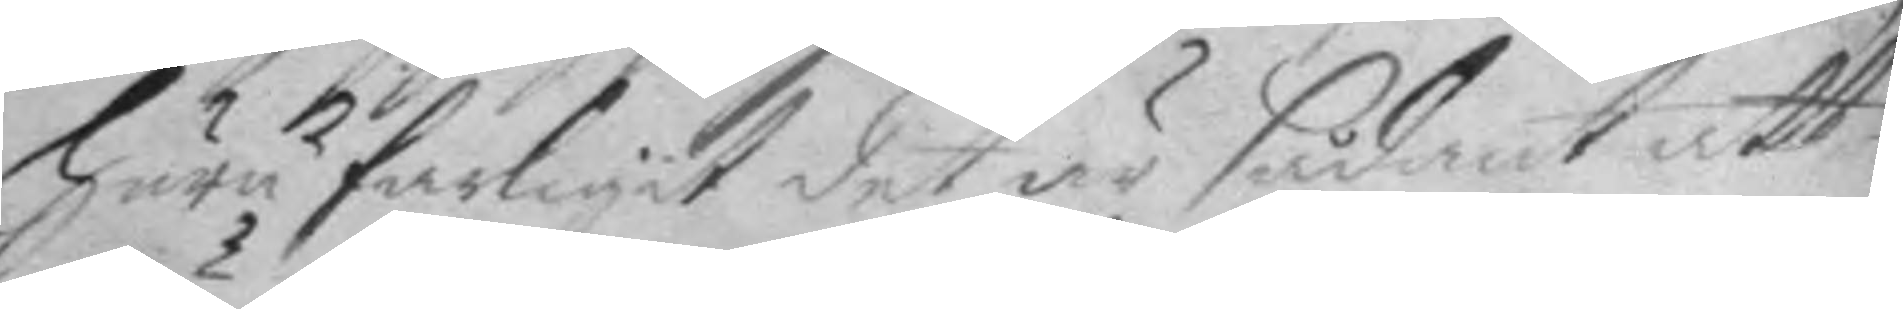huru farligit det är sådant att
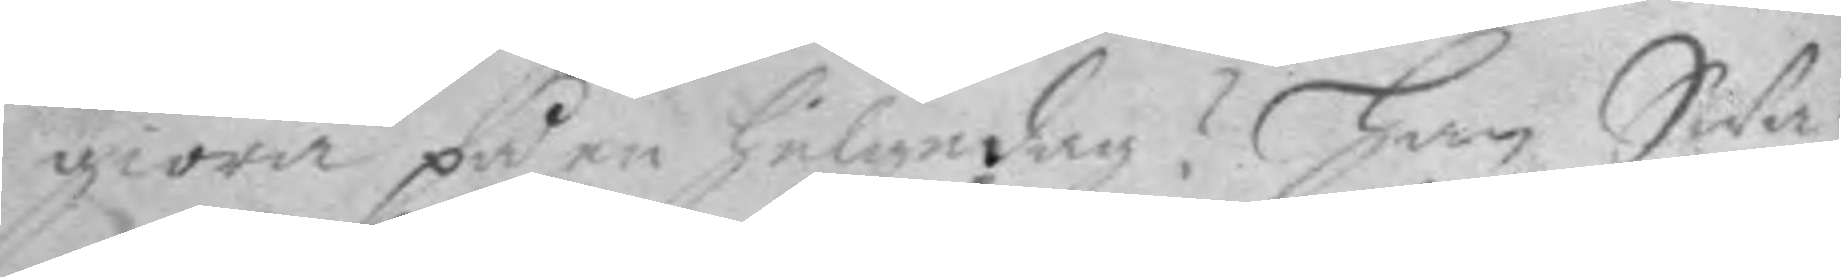giöra på en helgedag? han Swa¬
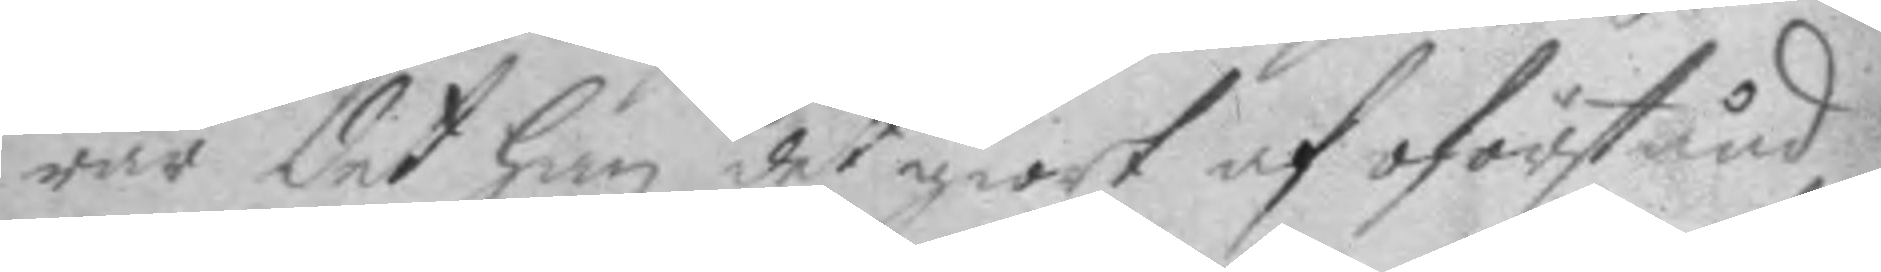rar det han det giort af oförstånd
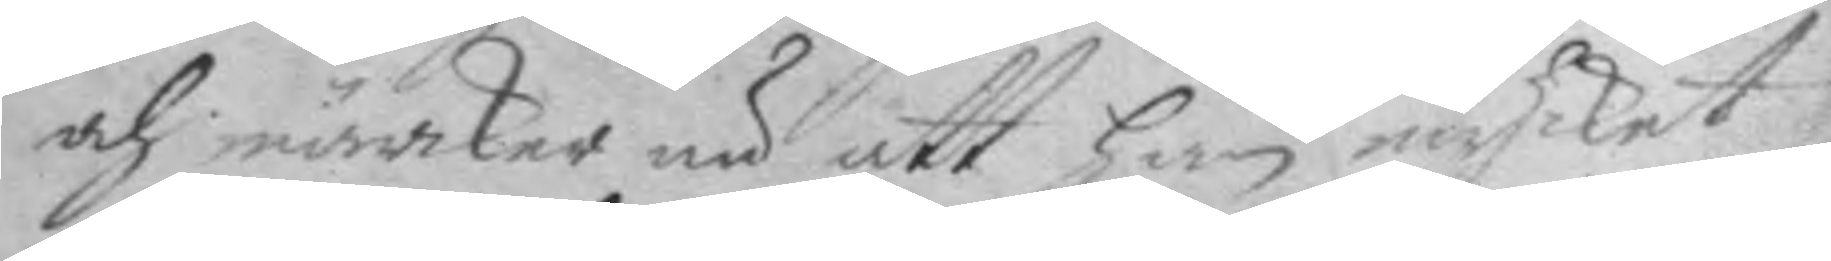och märker nu att han mycket
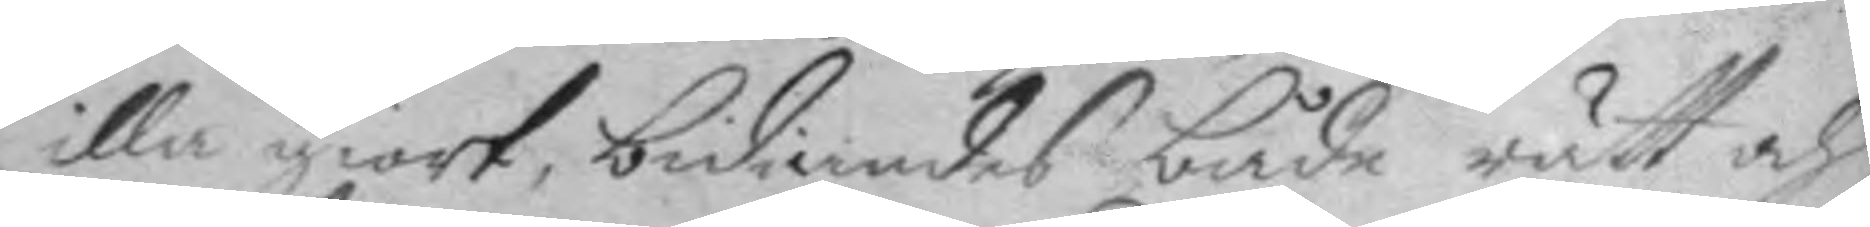illa giort, bediandes både rätt och
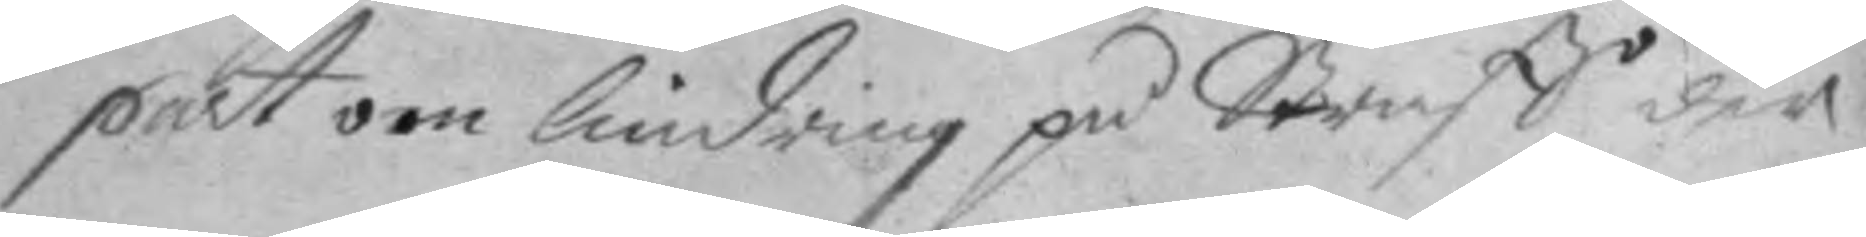part om lindring på Straff der
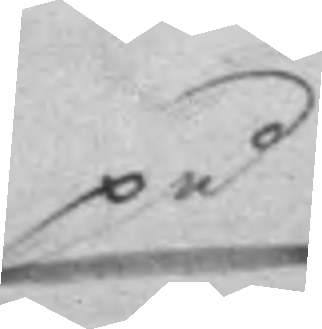på
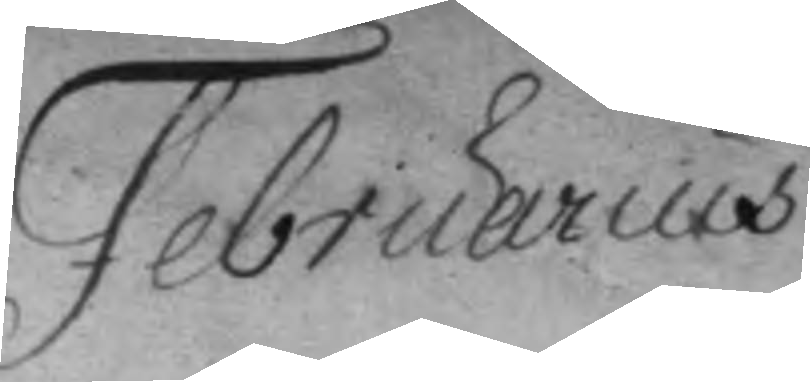Februarius
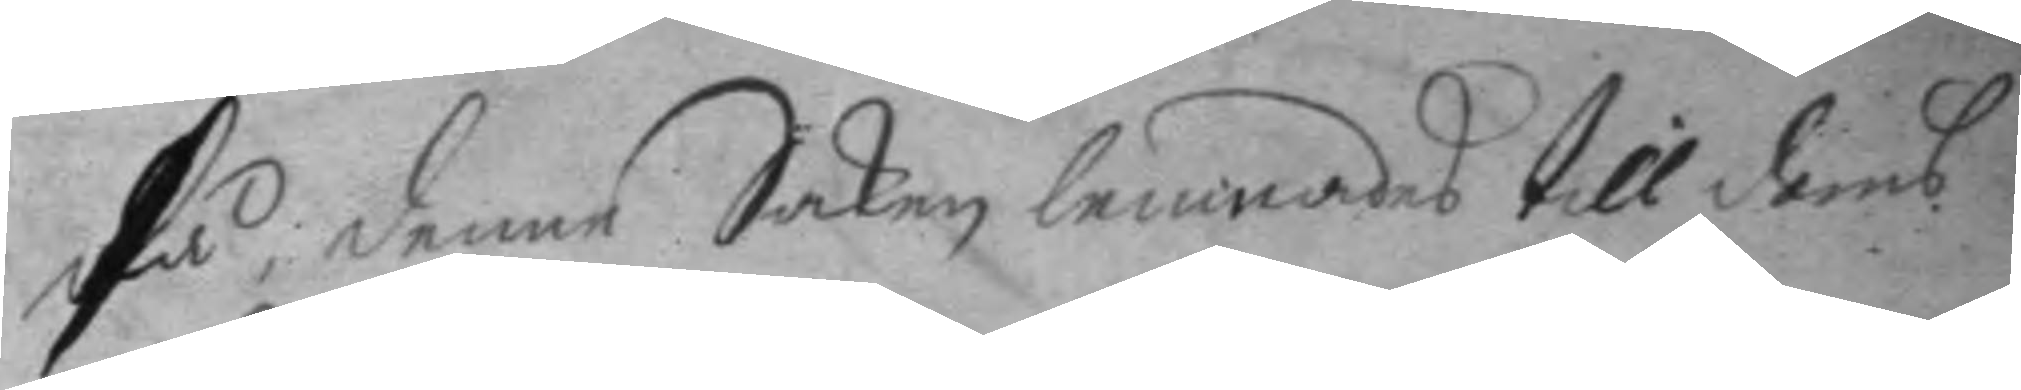På; denne Saken lemnades till doms
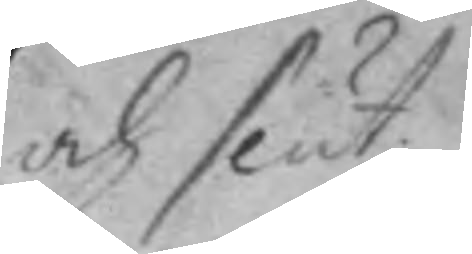och slut.
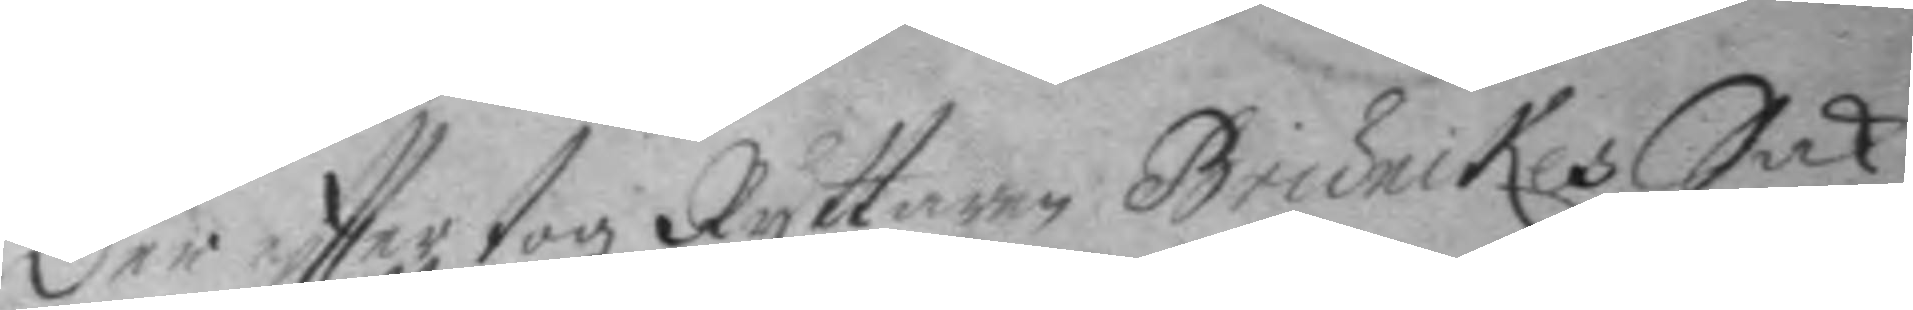der eftter togz Ryttaren Brunckes Sak
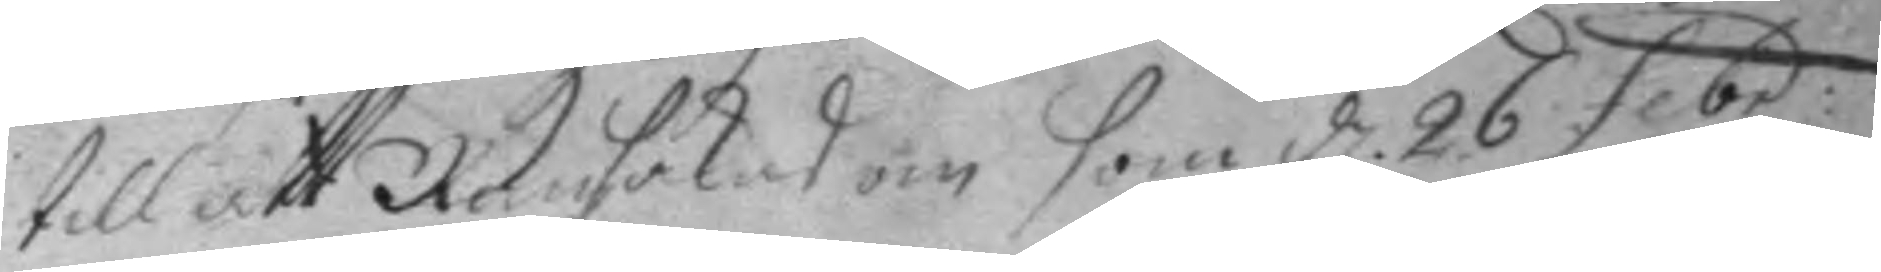till att Ransakas om som d. 26 febr:
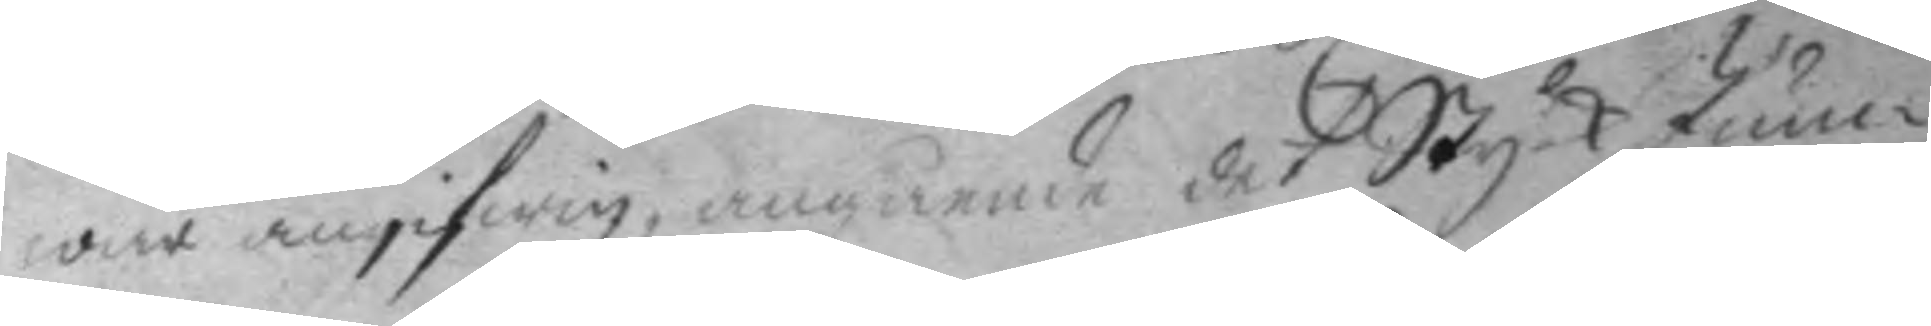war angifwen, angående det Styck Jun¬
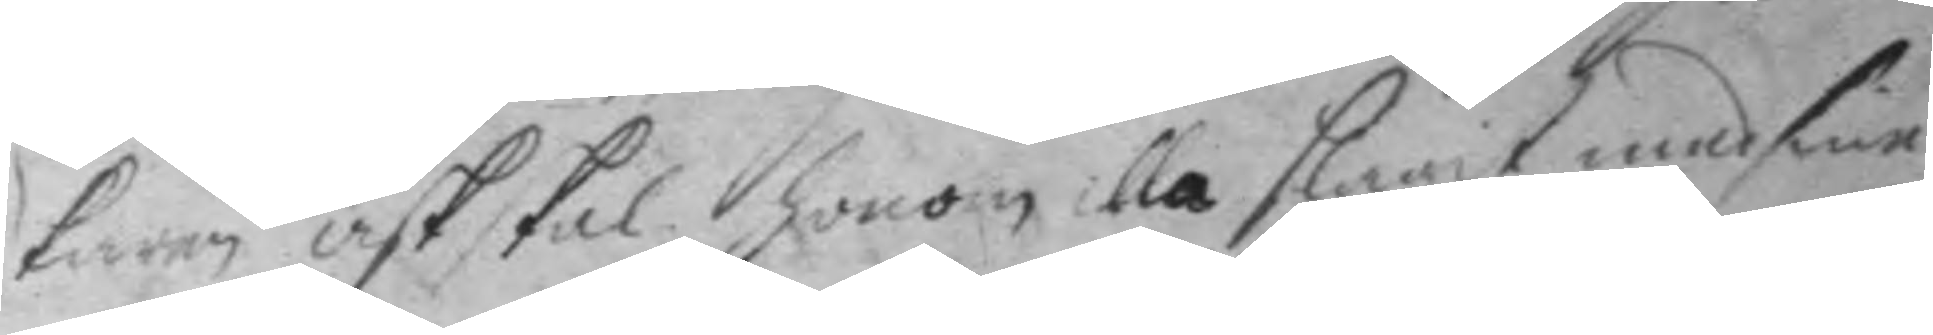karen ask skal honom illa slagit med sine
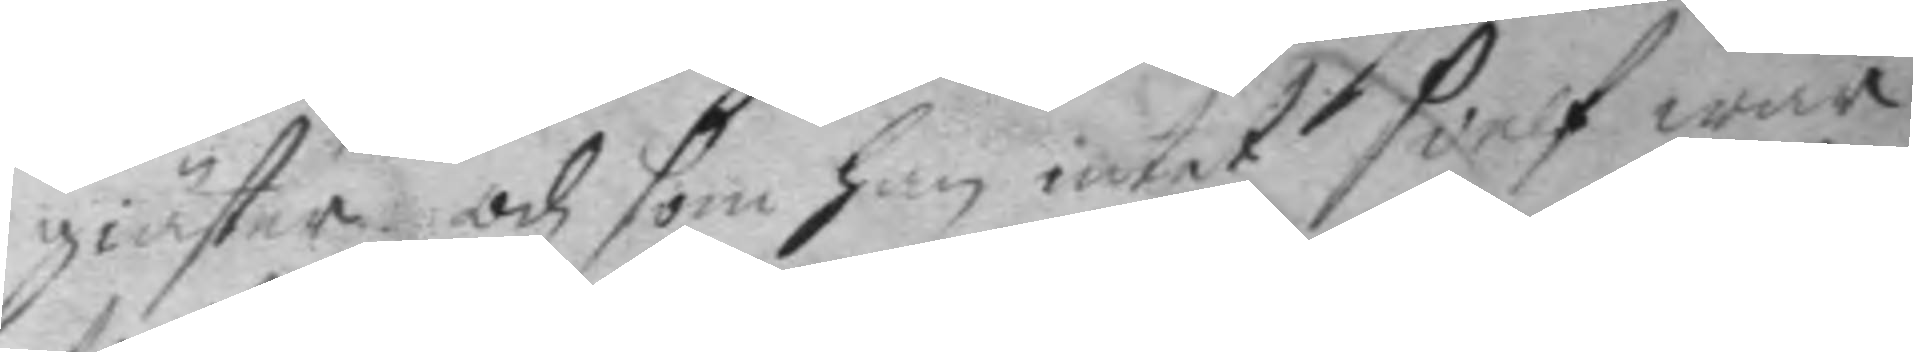giäster och som han intet sielf war
